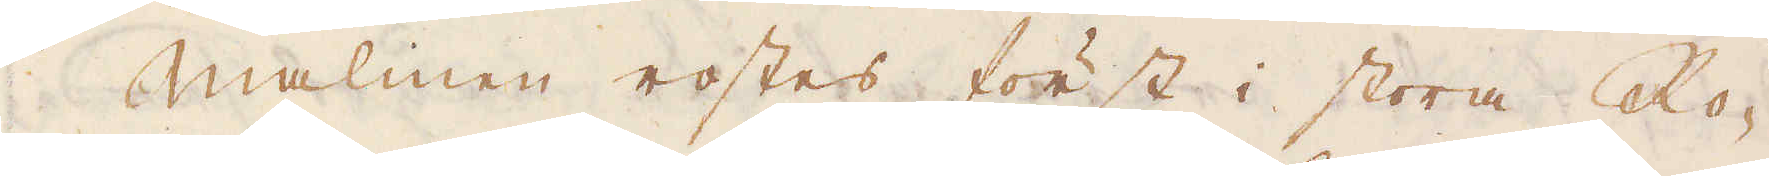Malmen rostes först i stora Ro-
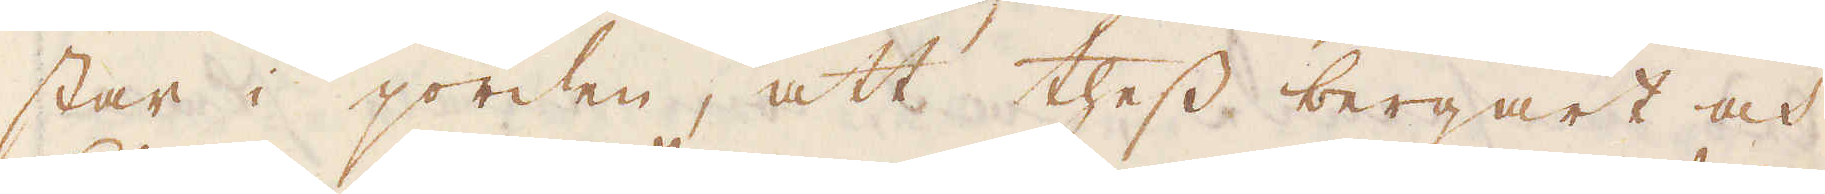star i jorden, att thess bergart och
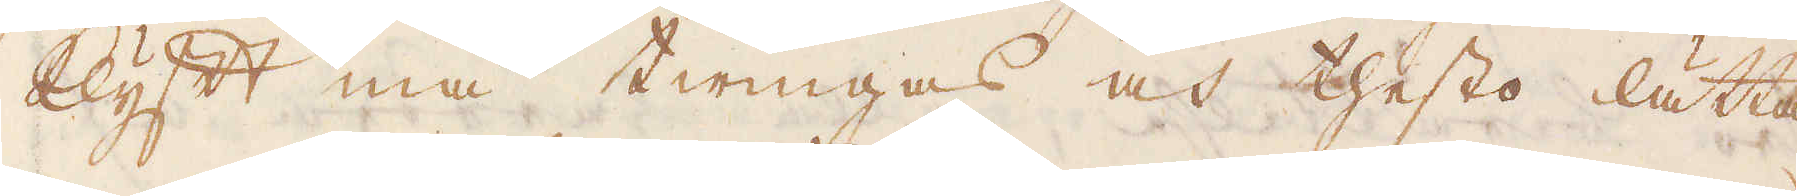klyft må twingas och thesto lätta-
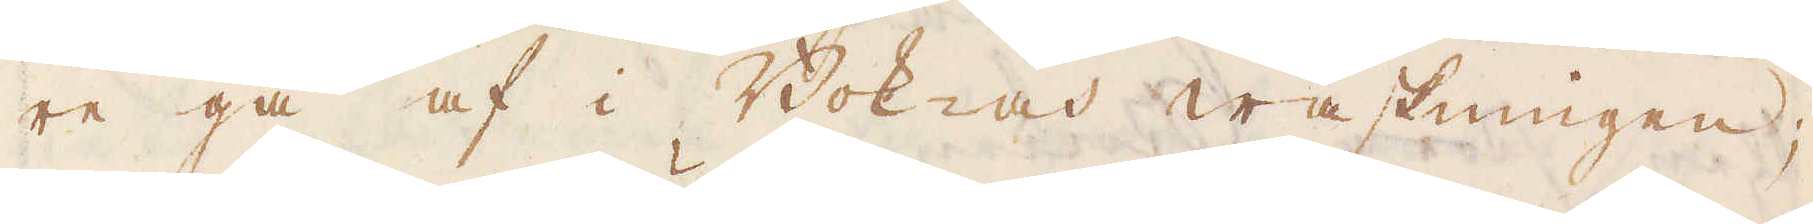re gå af i Bok- och waskningen;
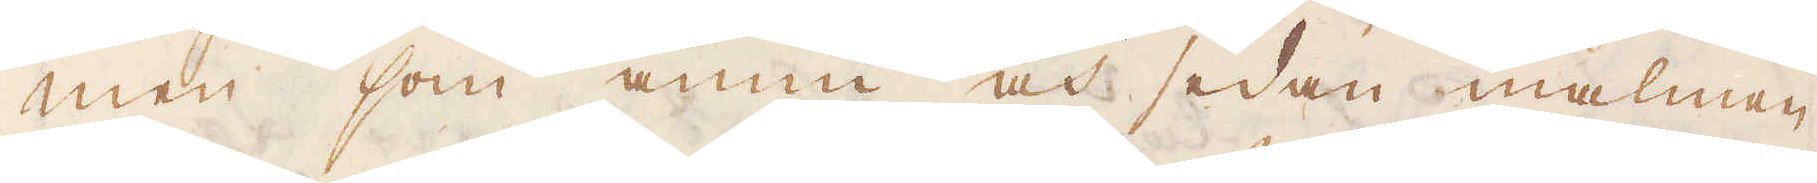men som ännu och sedan malmen
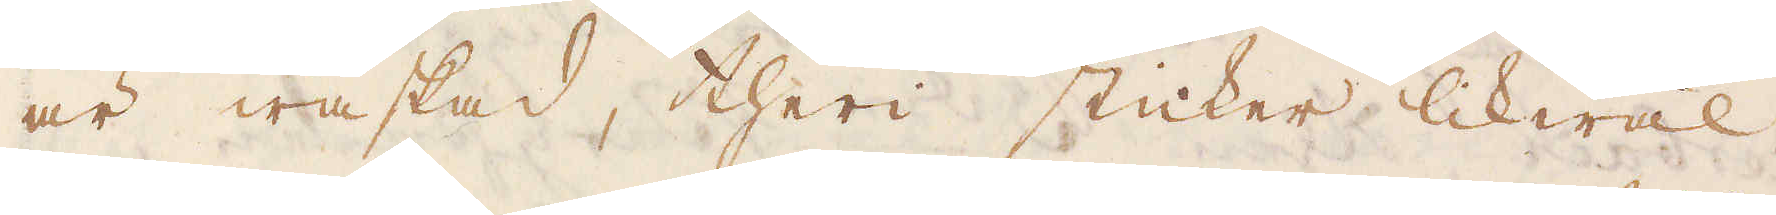är waskad, theri sticker likwäl
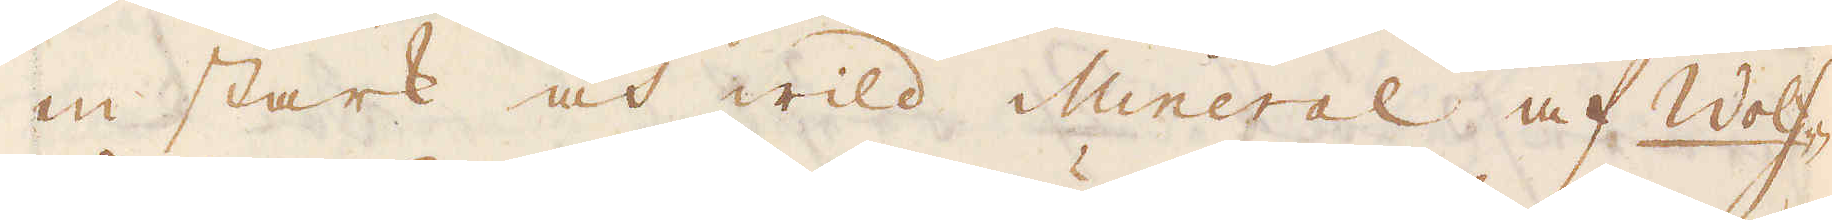en stark och wil Mineral af Wolf-
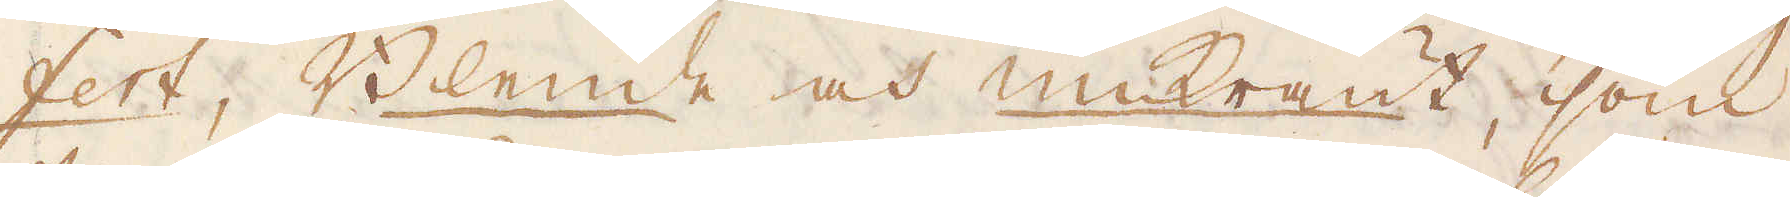fert, Blende och Unkraut, som
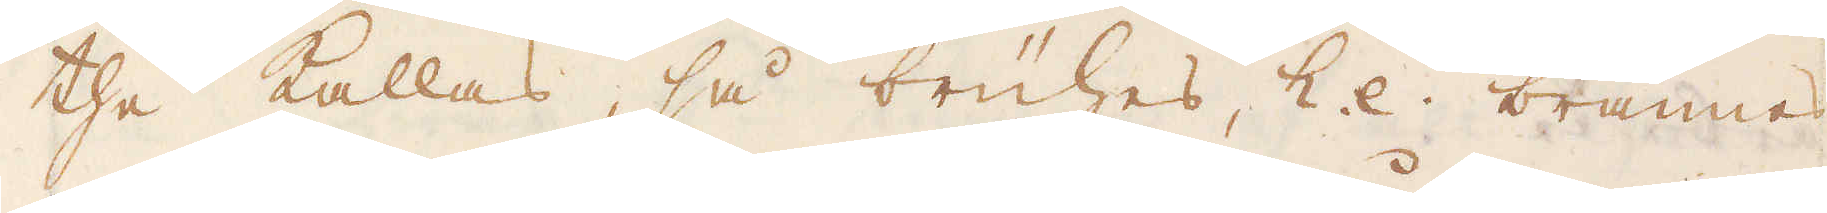the kallas, så brühes, &.c. brännes
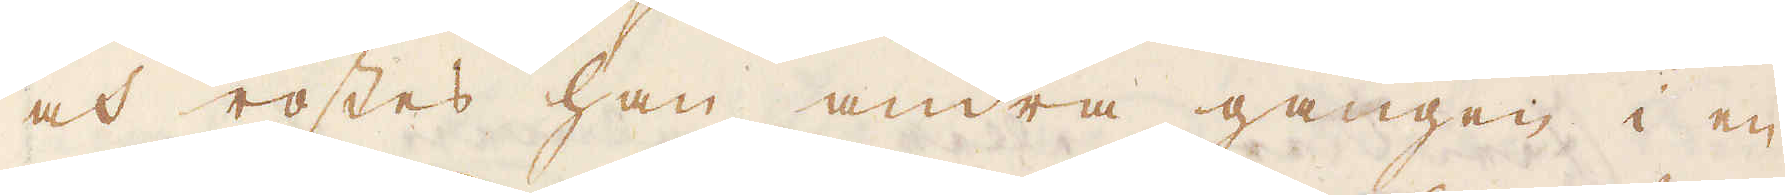och rostes han andra gången i en
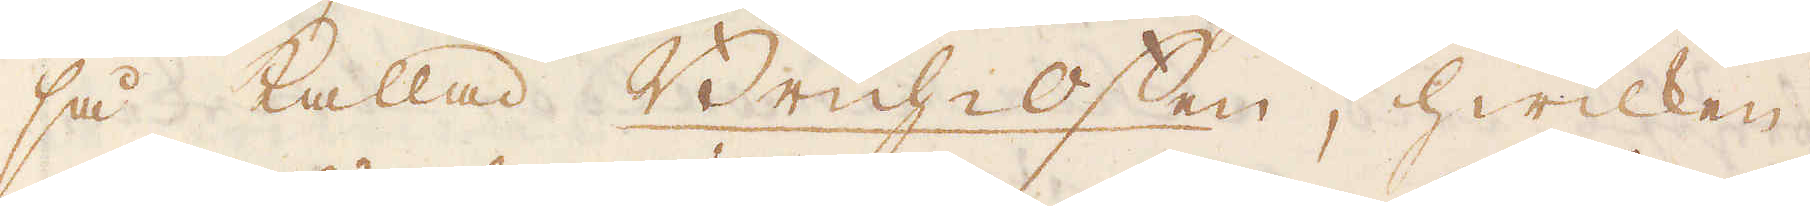så kallad Brüh-offen, hwilken
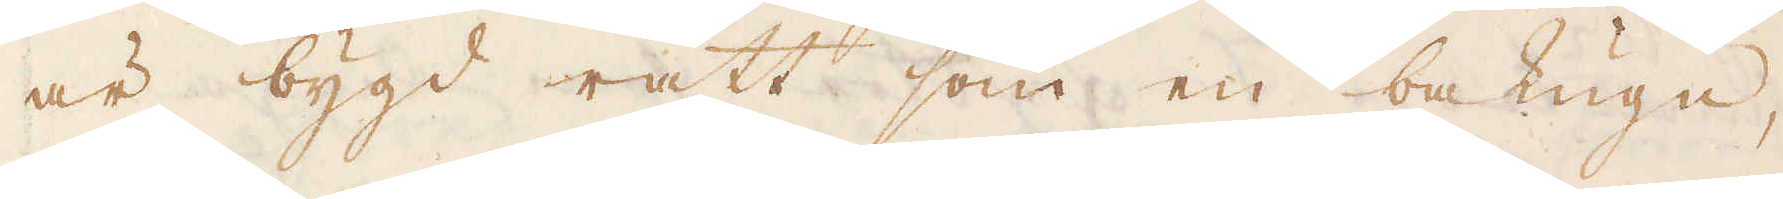är bygd rätt som en bakugn,
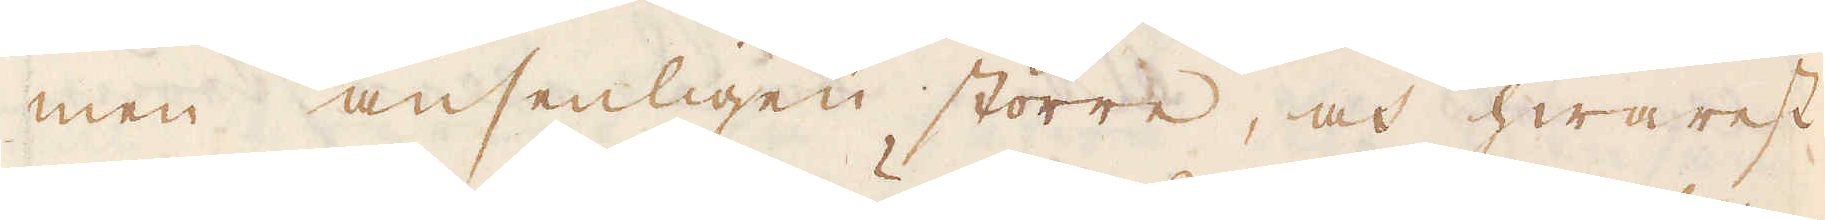men ansenligen större, och hwarest
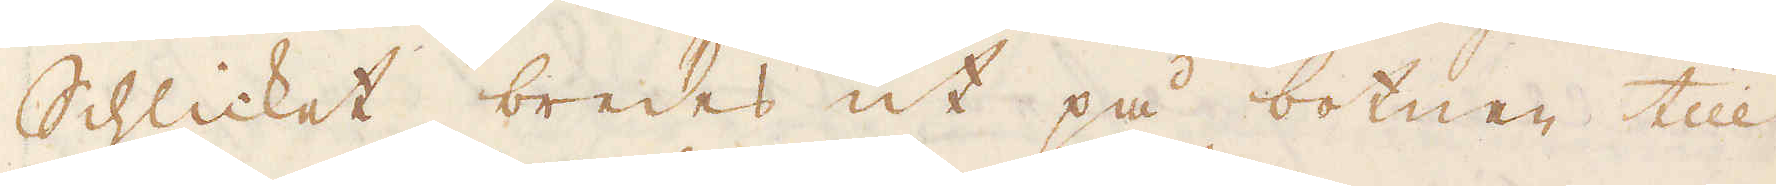Schlicket bredes ut på botnen till
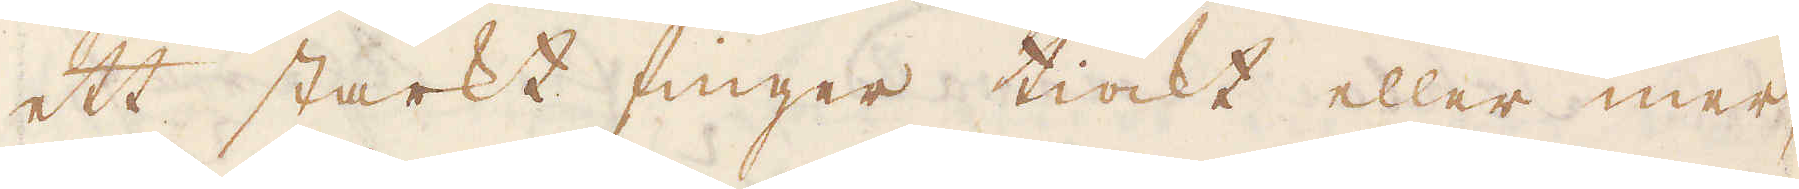ett starkt finger tiock eller mer,
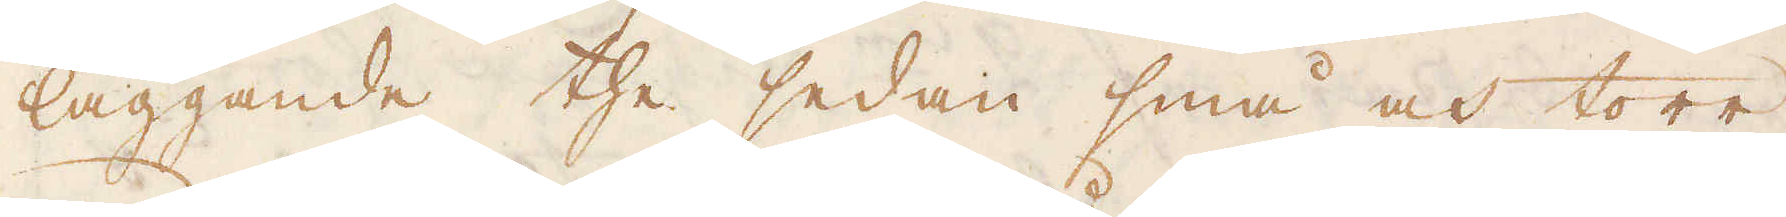läggande the sedan små och torr
